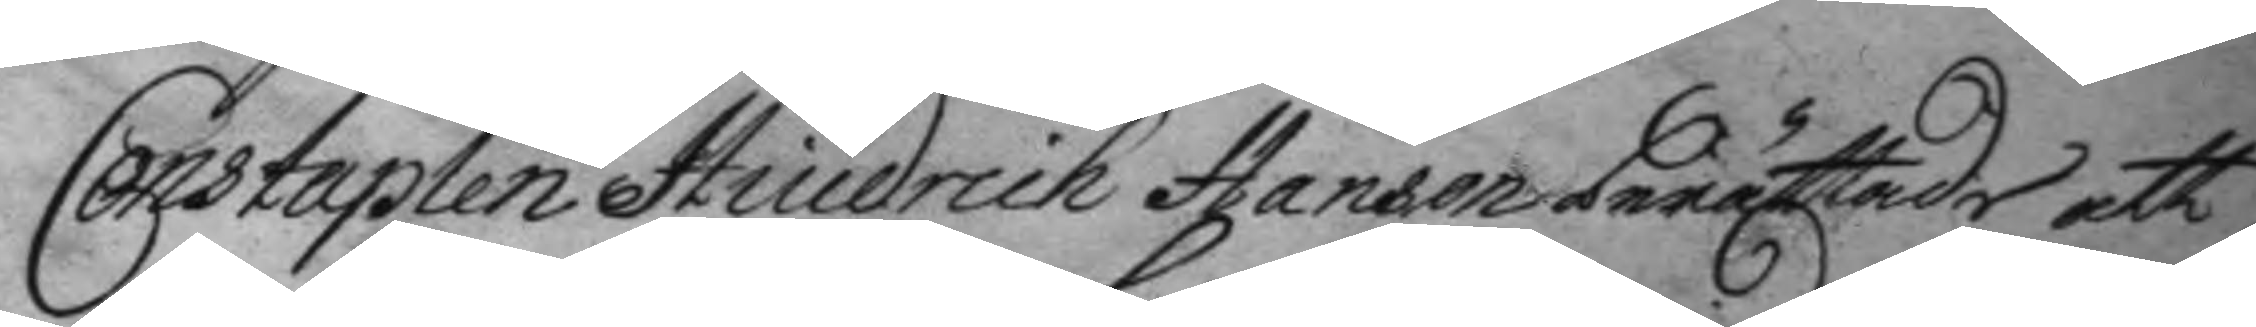Constapelen Hindrich Hanson berättade att
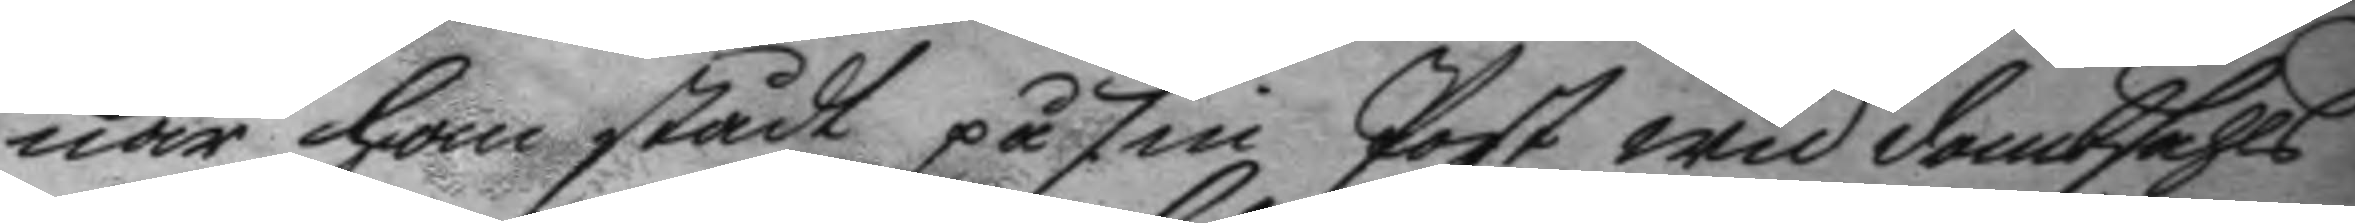när han stådt på sin Post wid dombsahls
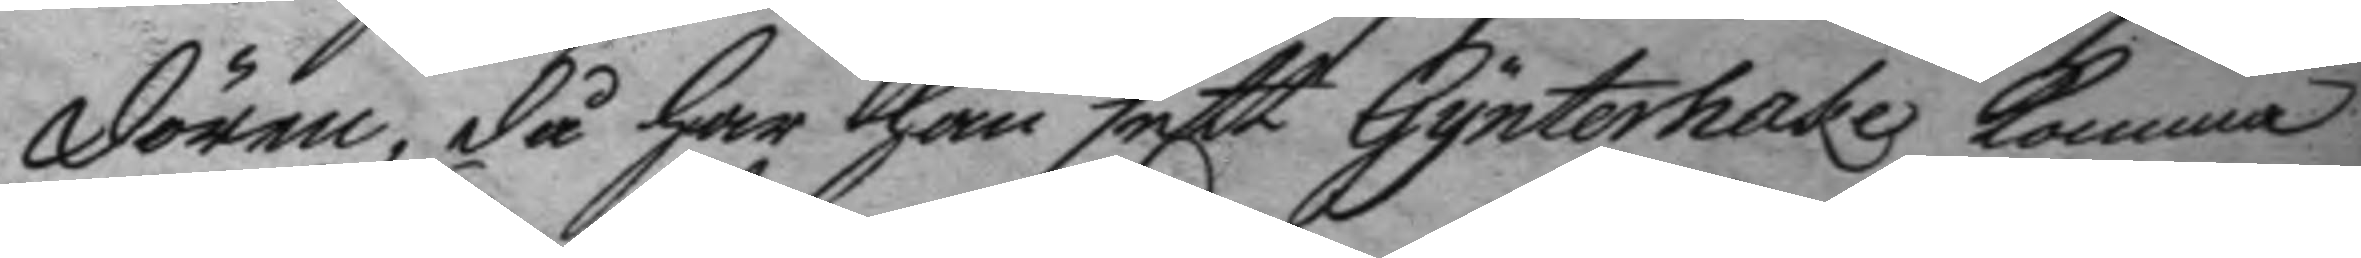dörren, då har han sett Gynterhake komma
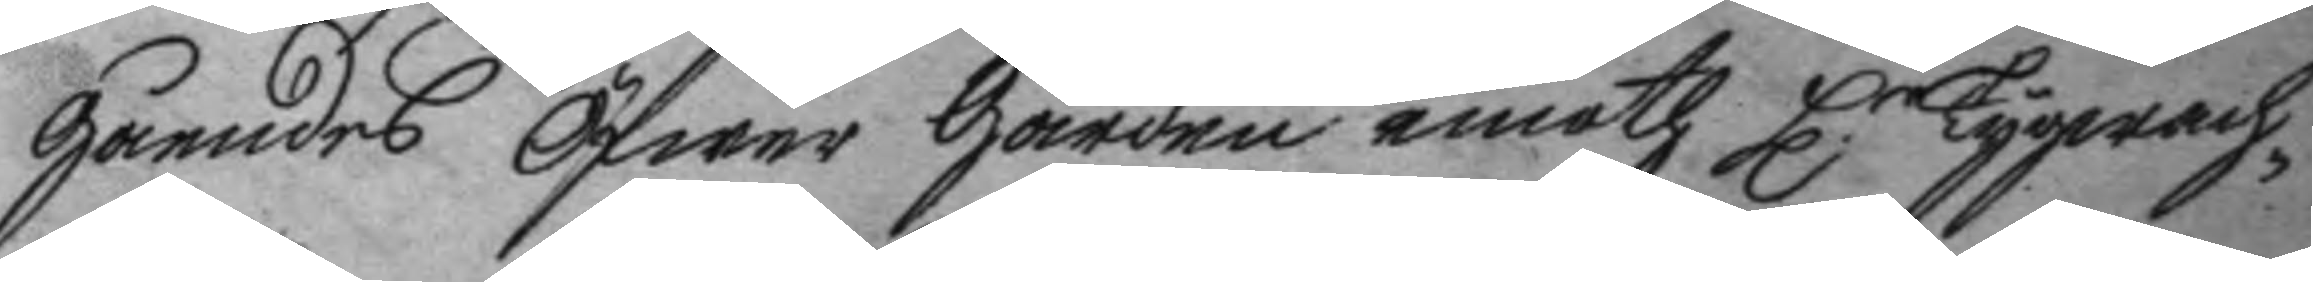gåendes öfwer gården emoth H.r Tygwach¬
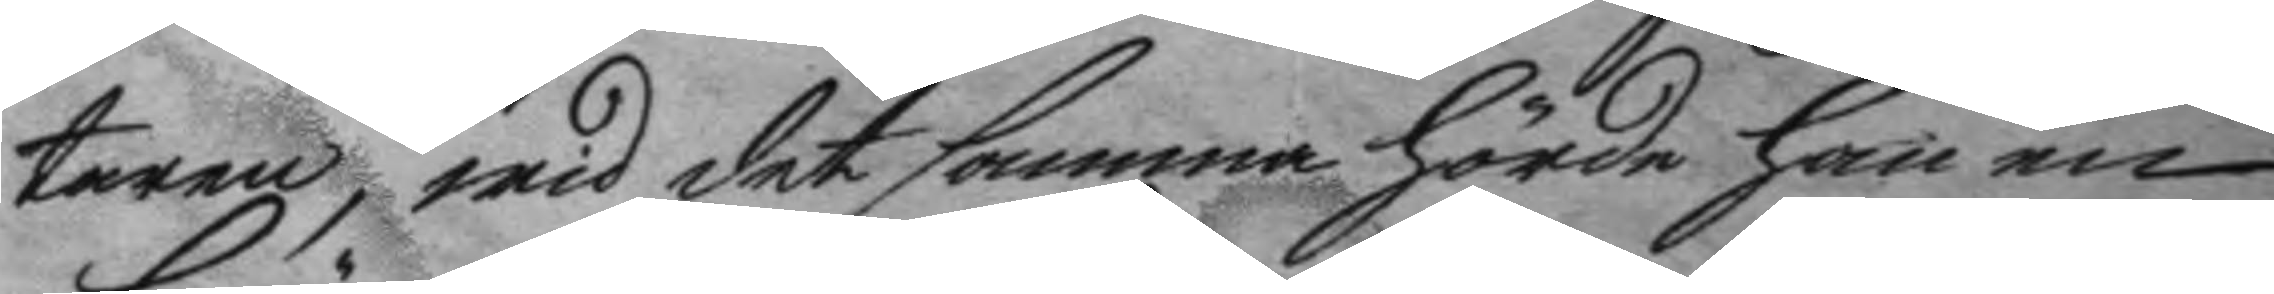taren, wid det samma hörde han en
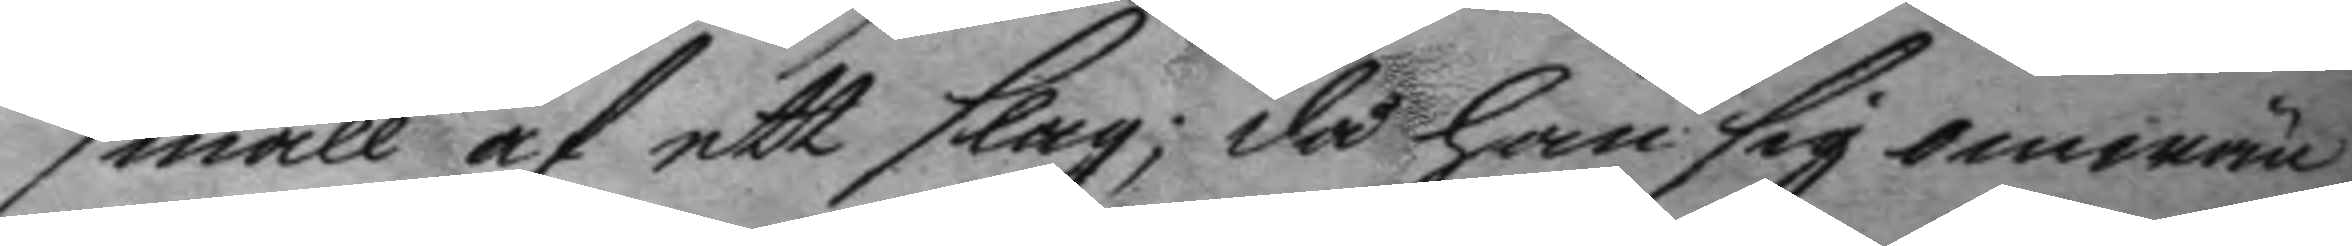smäll af ett slag; då han sig omwän¬
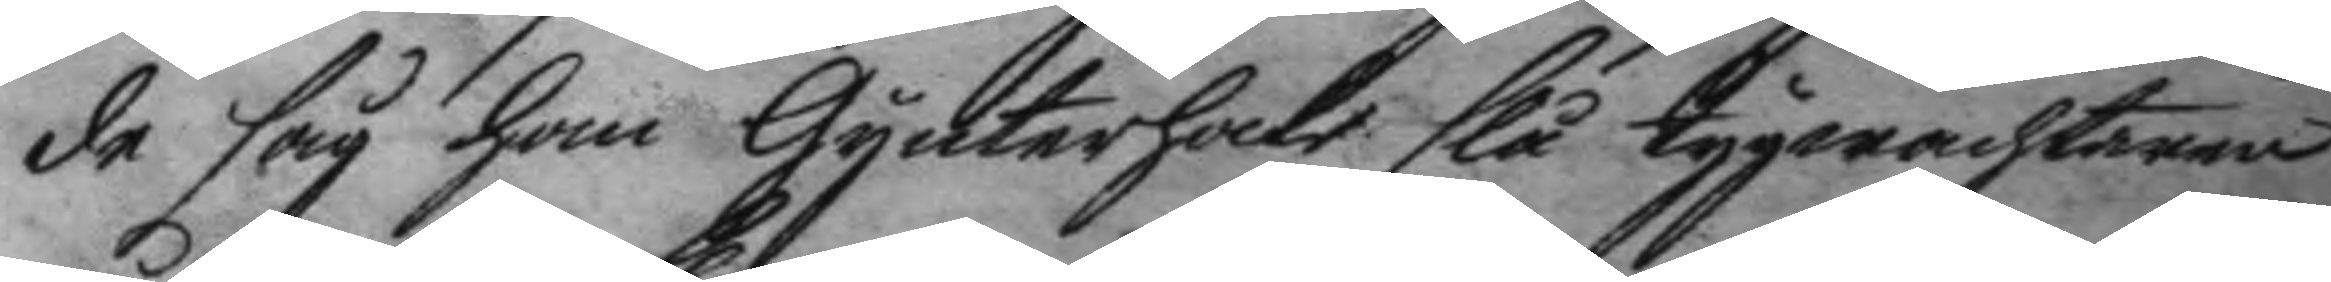de såg han Gynterhake slå tygwachtaren
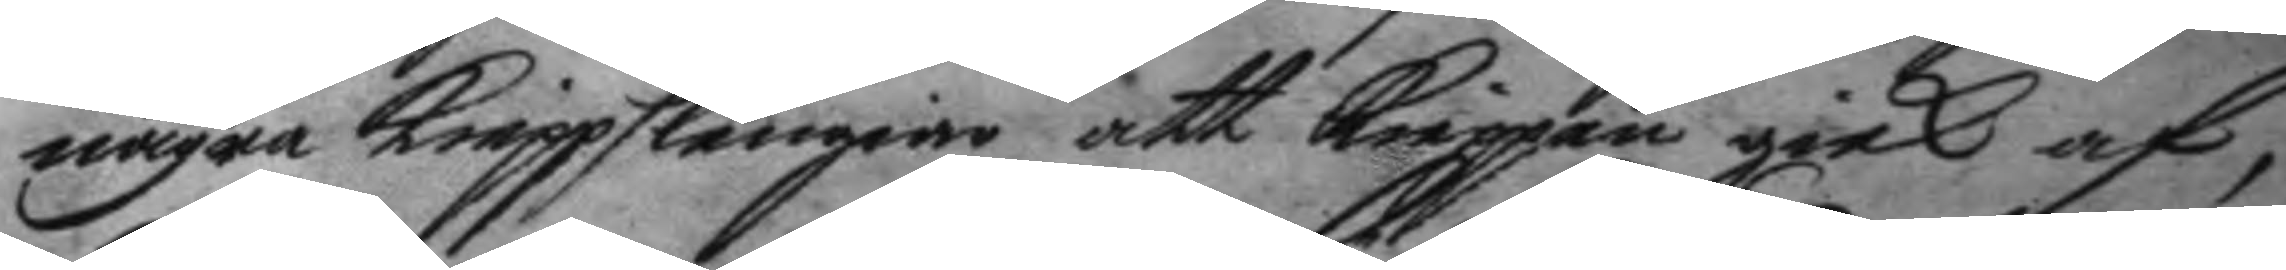några kieppslengar att kieppen gick af,
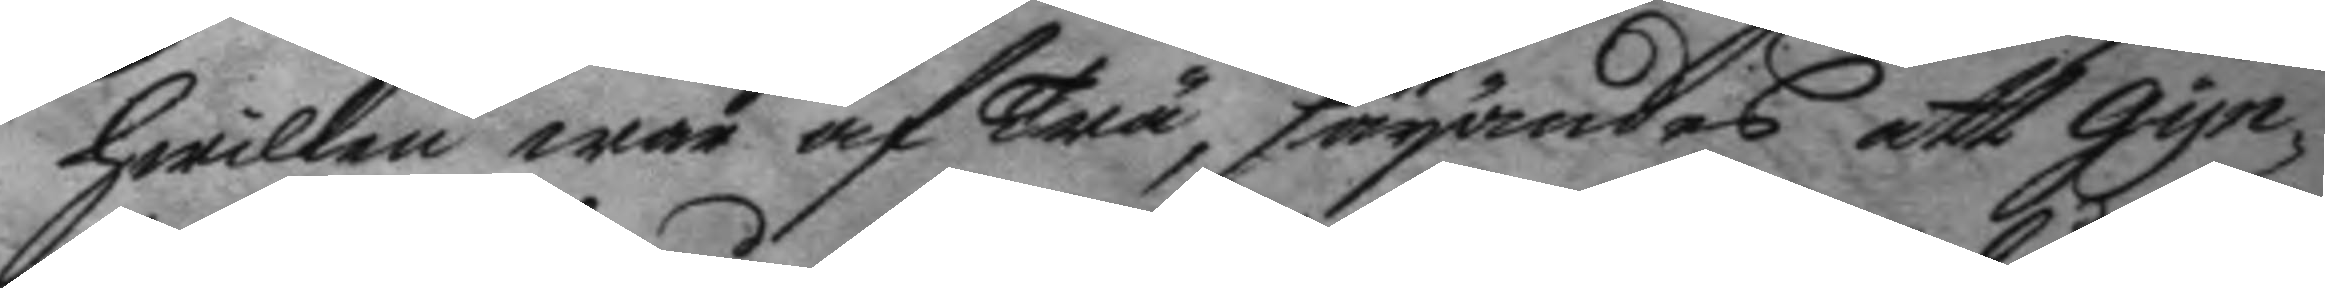hwilken war af Trä, säyandes att Gyn¬
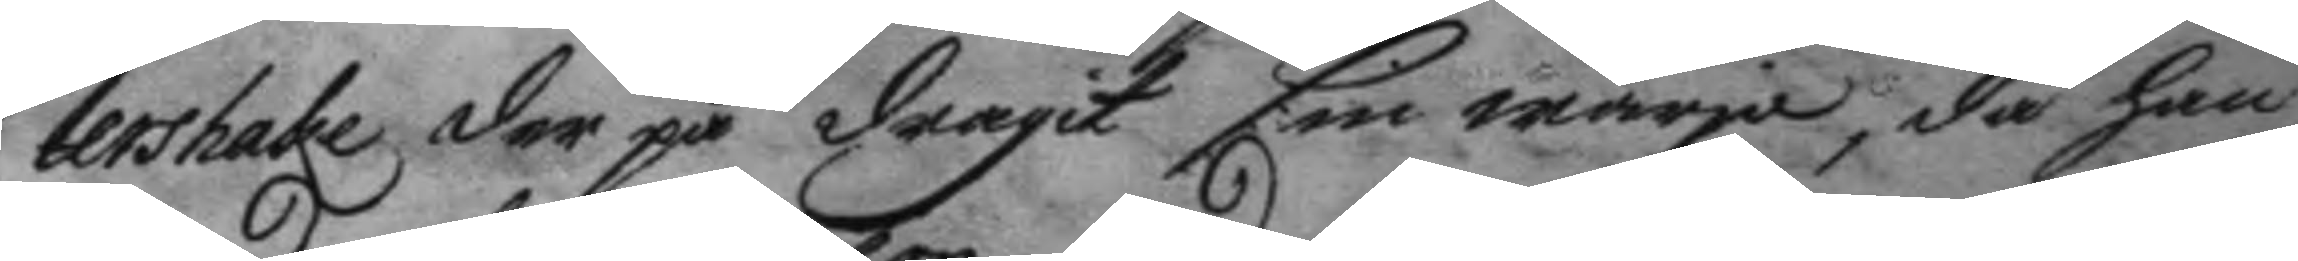tershake der på dragit sin wärja, då han
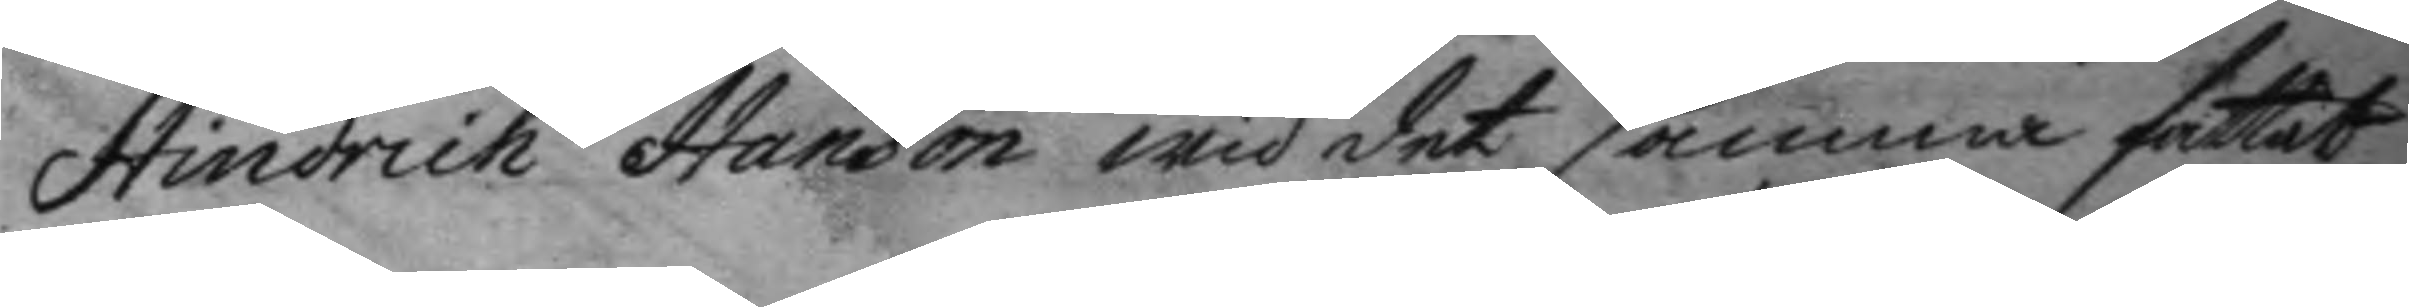Hindrich Hanson wid det samma fattat
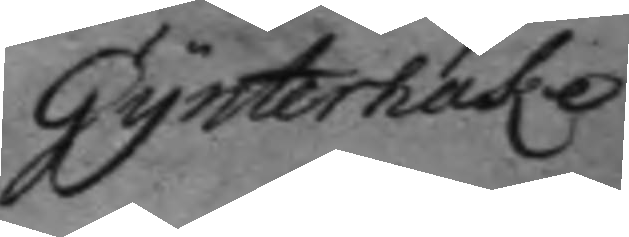Gynterhake
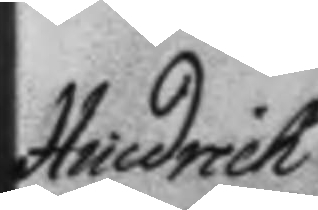Hindrich
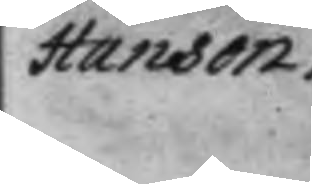Hanson,
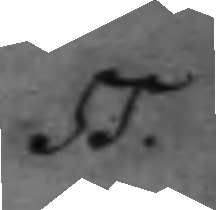55.
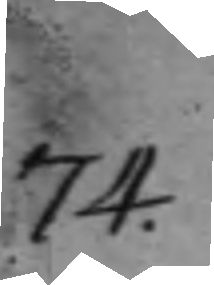74.
